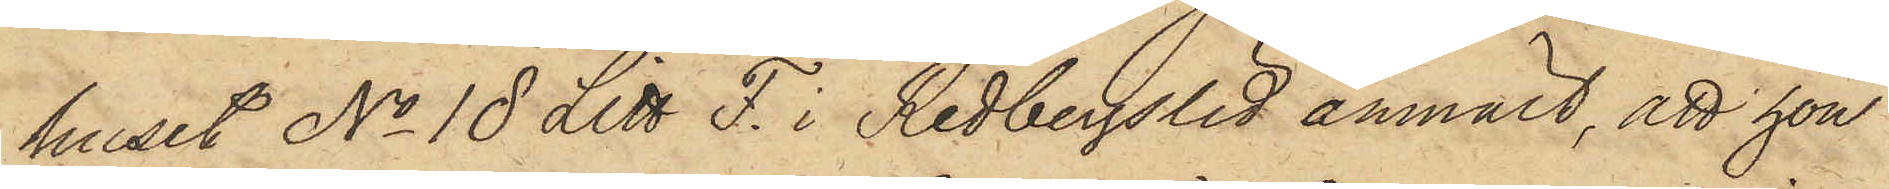huset No 18 Litt F. i Redbergslid anmält, att hon
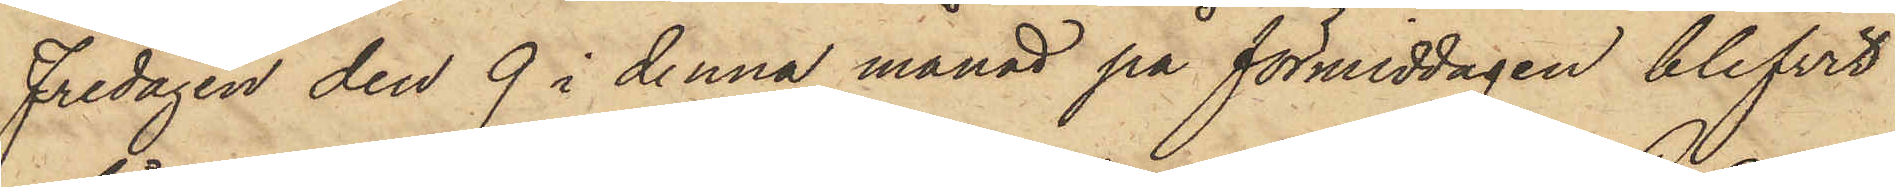Fredagen den 9 i denna månad på förmiddagen blifvit
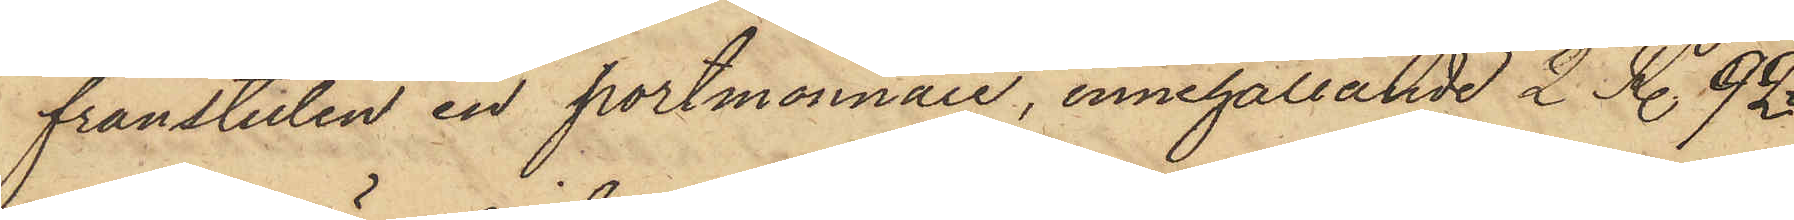frånstulen en portmonnaie, innehållande 2 R. 92
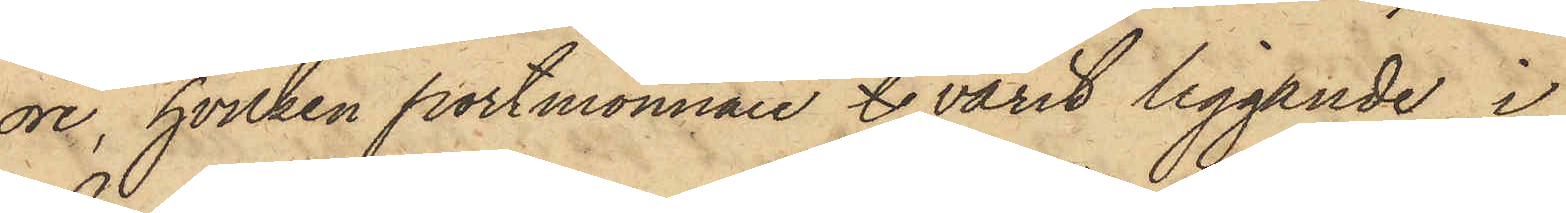öre, hvilken portmonnaie l varit liggande i
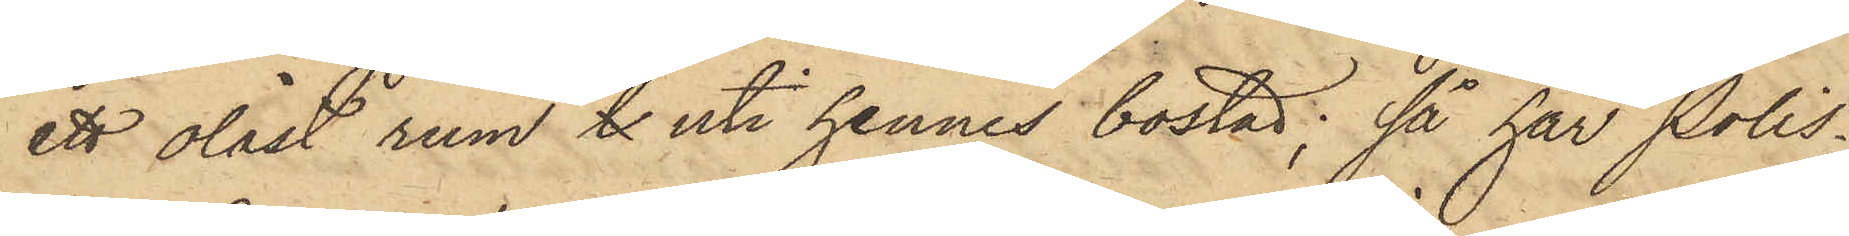ett olåst rum l uti hennes bostad; så har Polis¬
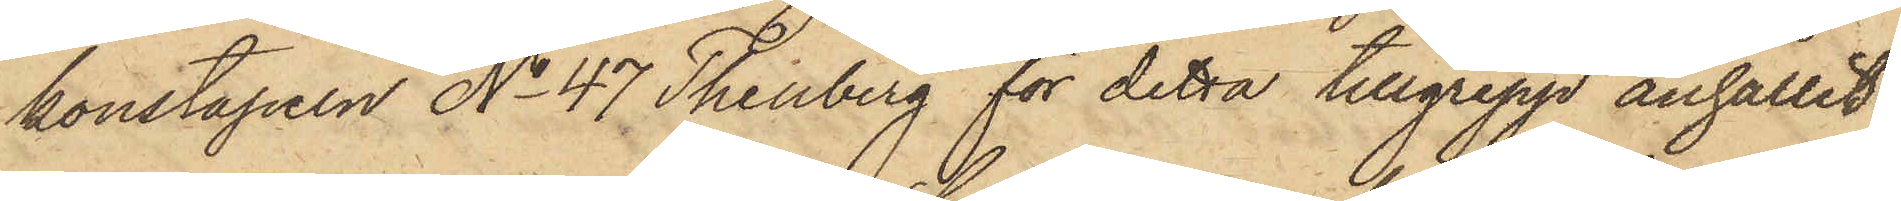konstapeln No 47 Thenberg för detta tillgrepp anhållit
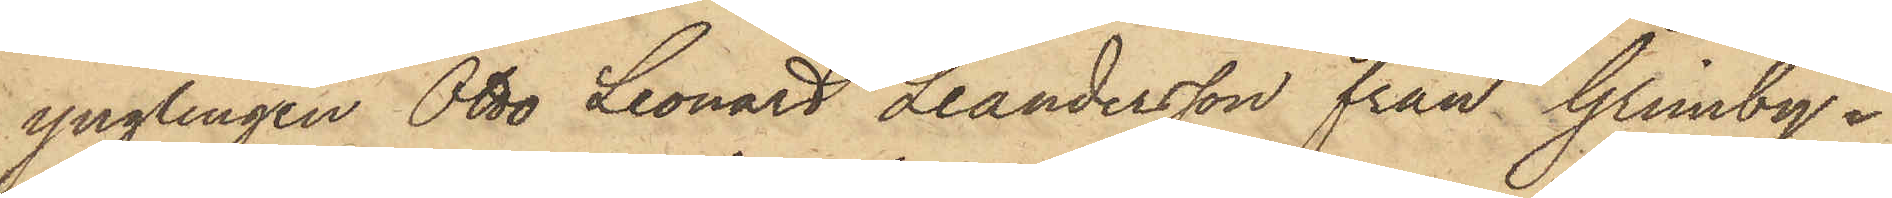ynglingen Otto Leonard Leandersson från Grimby i
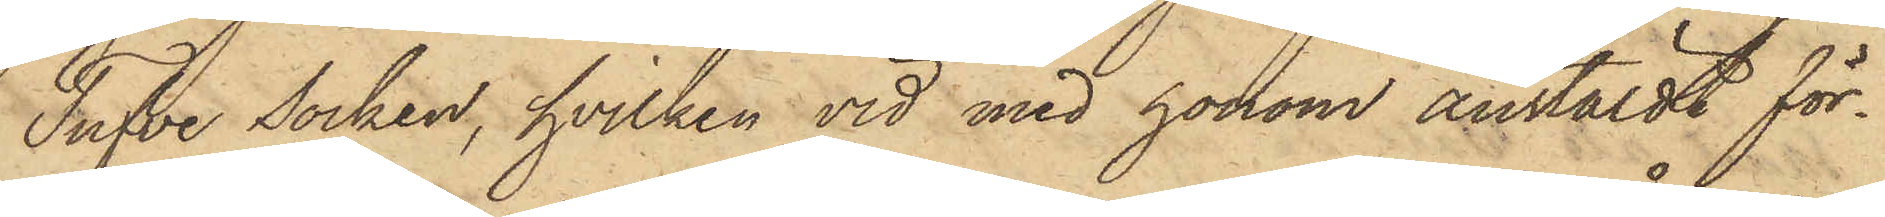Tufve Socken, hvilken vid med honom anstäldt för¬
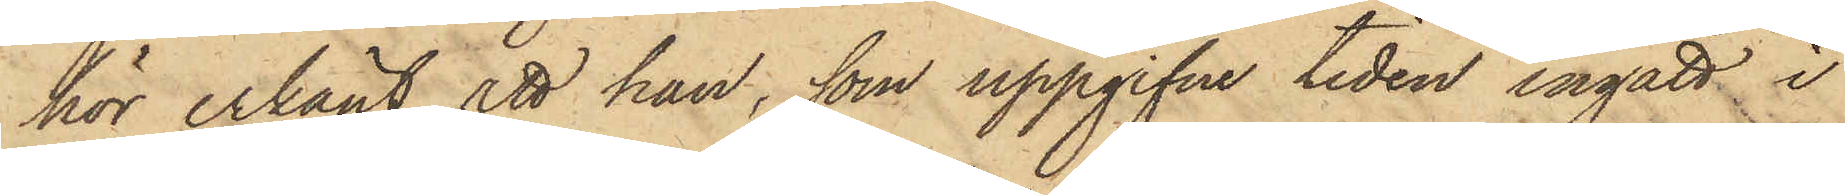hör erkänt, att han, som uppgifne tiden ingått i
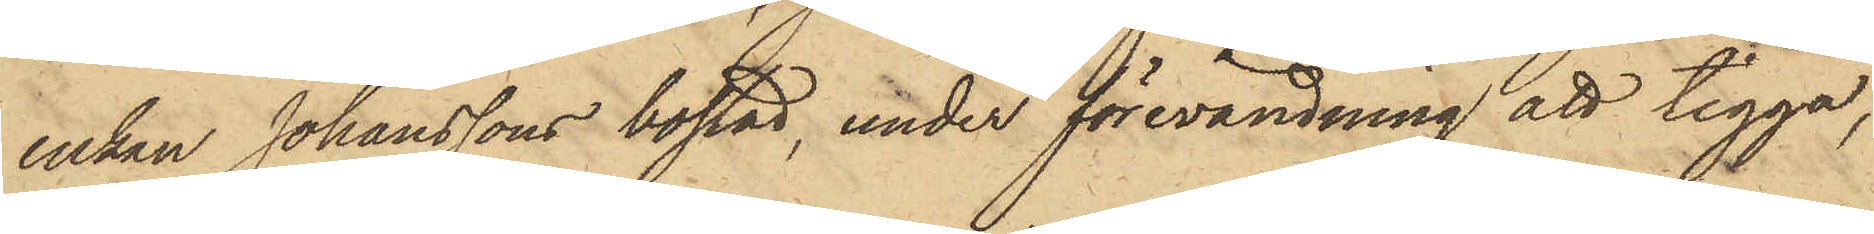enkan Johanssons bostad, under förevändning att tigga,
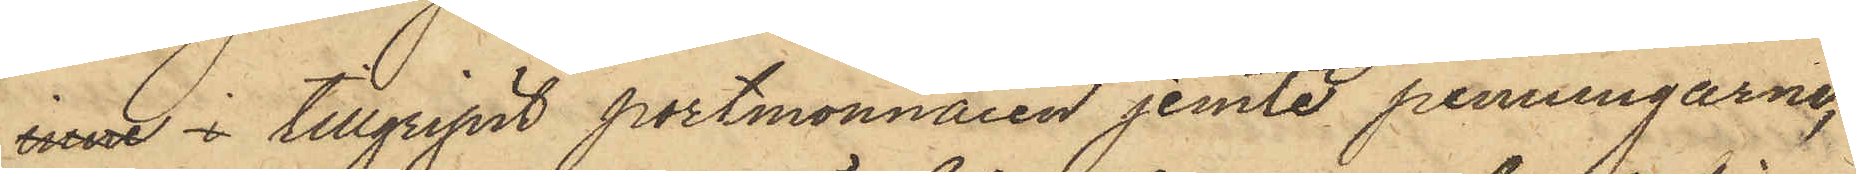inne i tillgripit portmonnaien jemte penningarne,
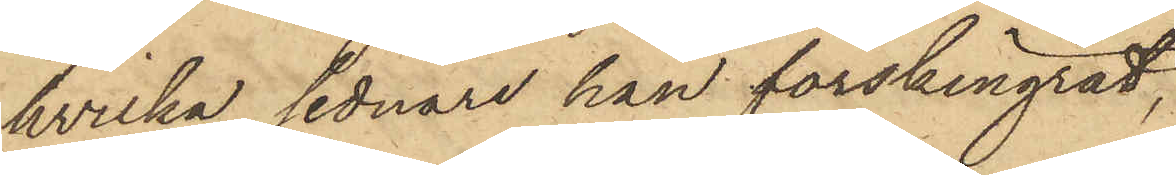hvilka sednare han förskingrat,
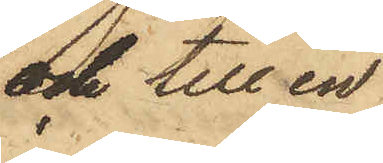och till en
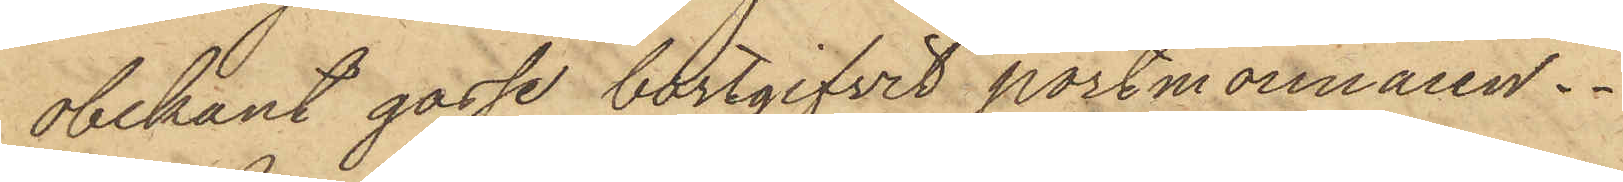obekant gosse bortgifvit portmonnaien.
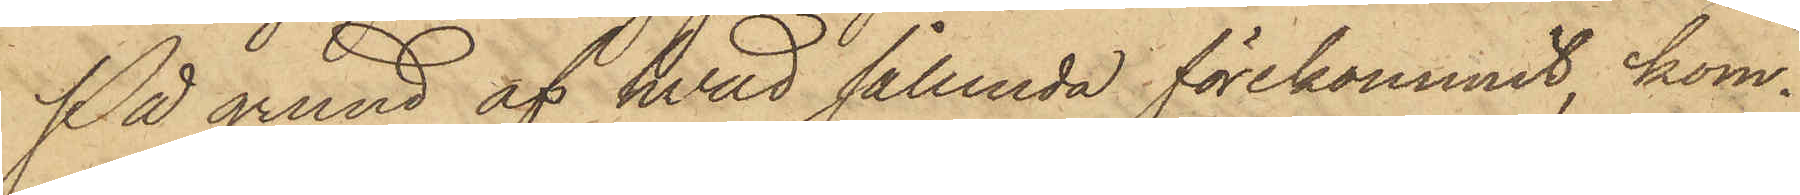På grund af hvad sålunda förekommit, kom¬
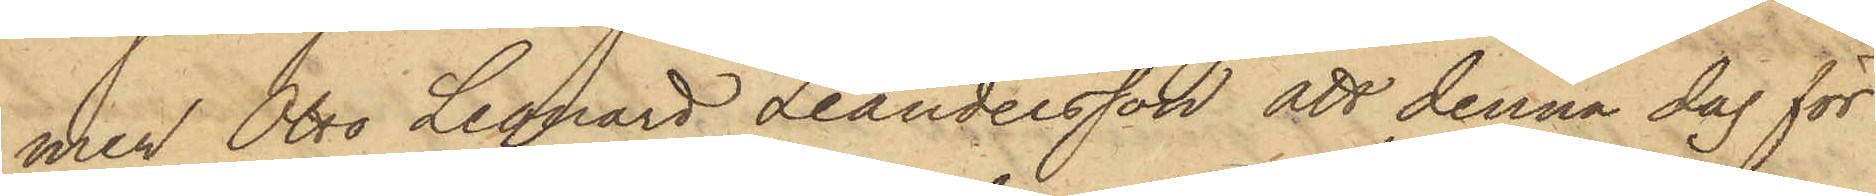mer Otto Leonard Leandersson att denna dag för
